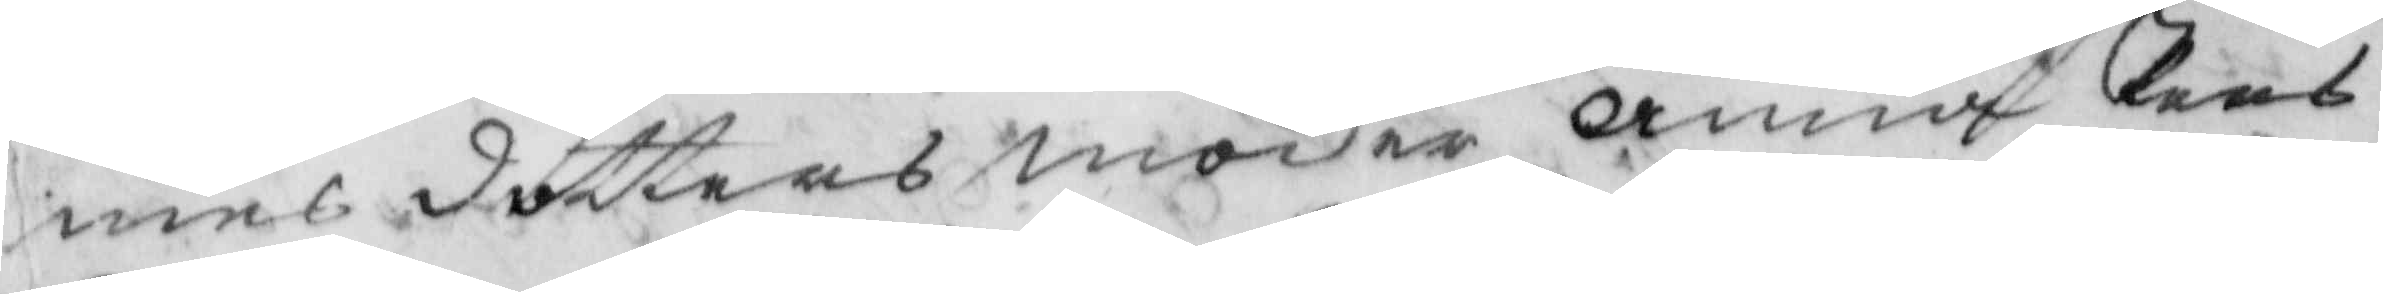mes dotters moder Anna Pers¬
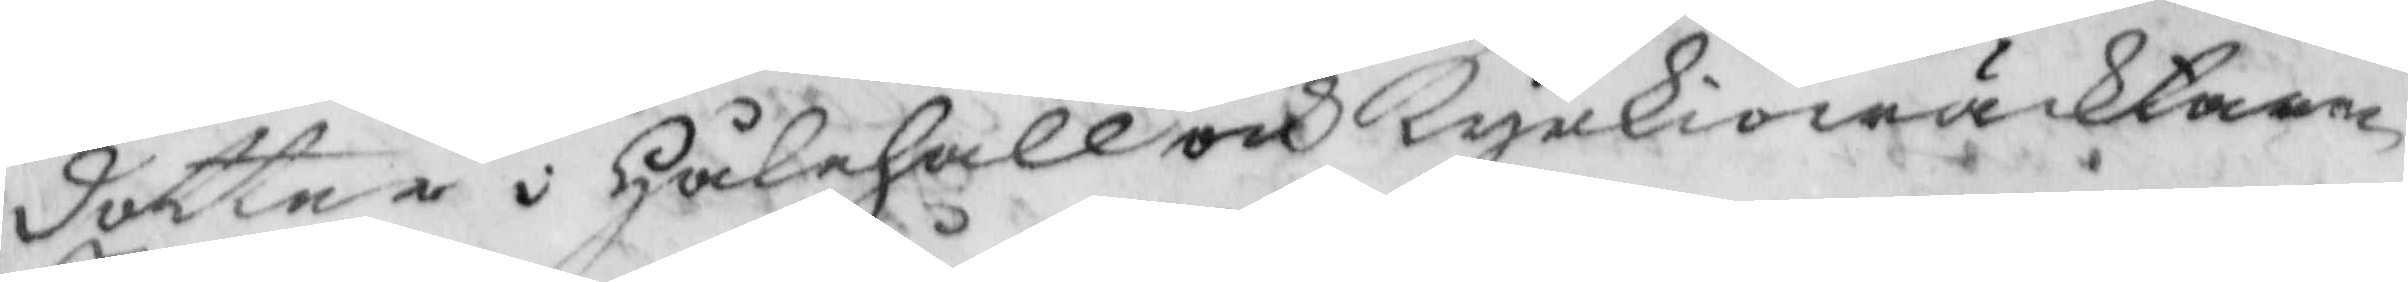dotter i Hålehall och Kyrkiowäcktaren
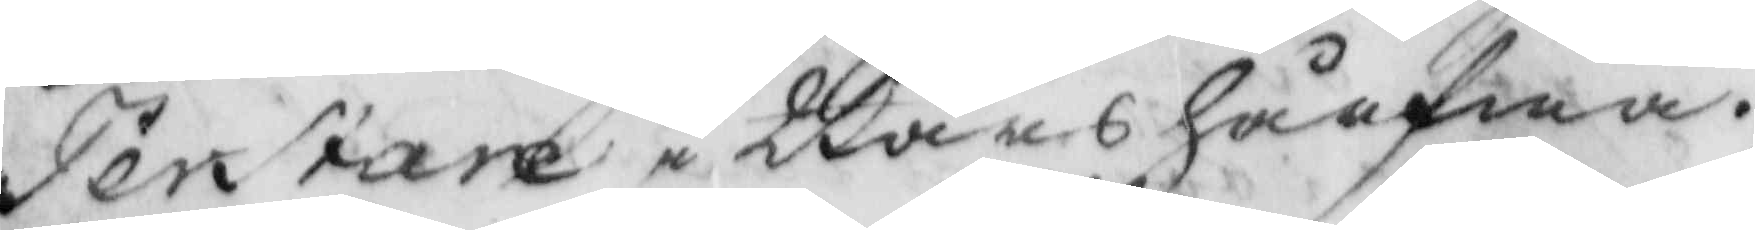Per stare i Bårshårfwa.
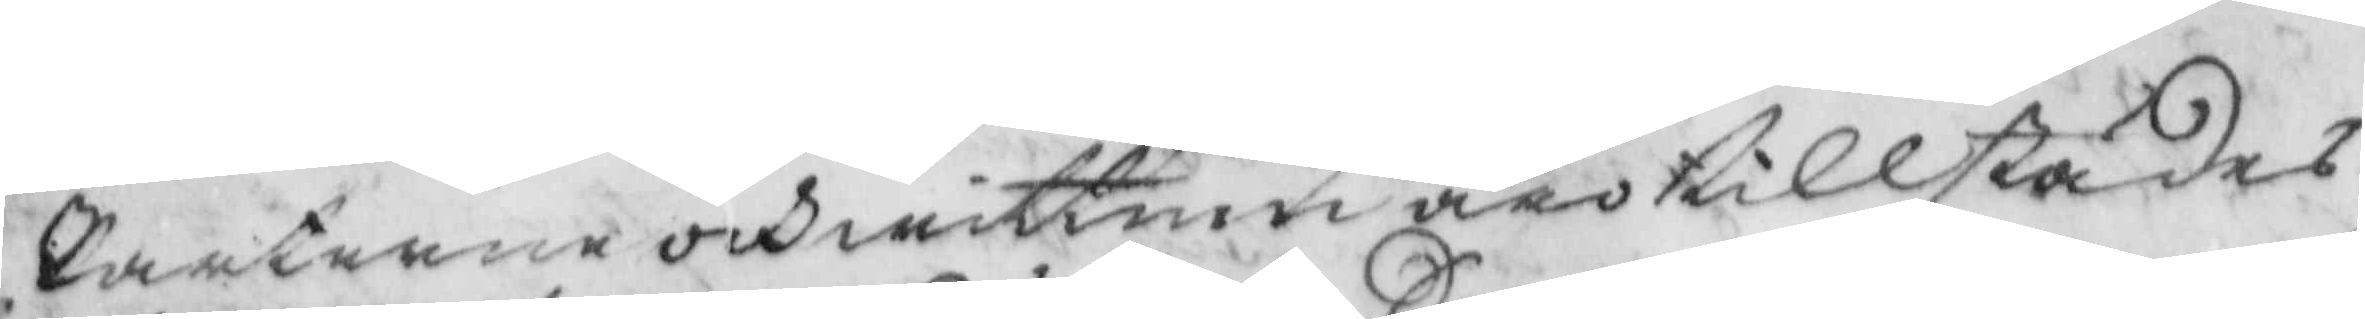Parterne och wittnen äro tillstädes
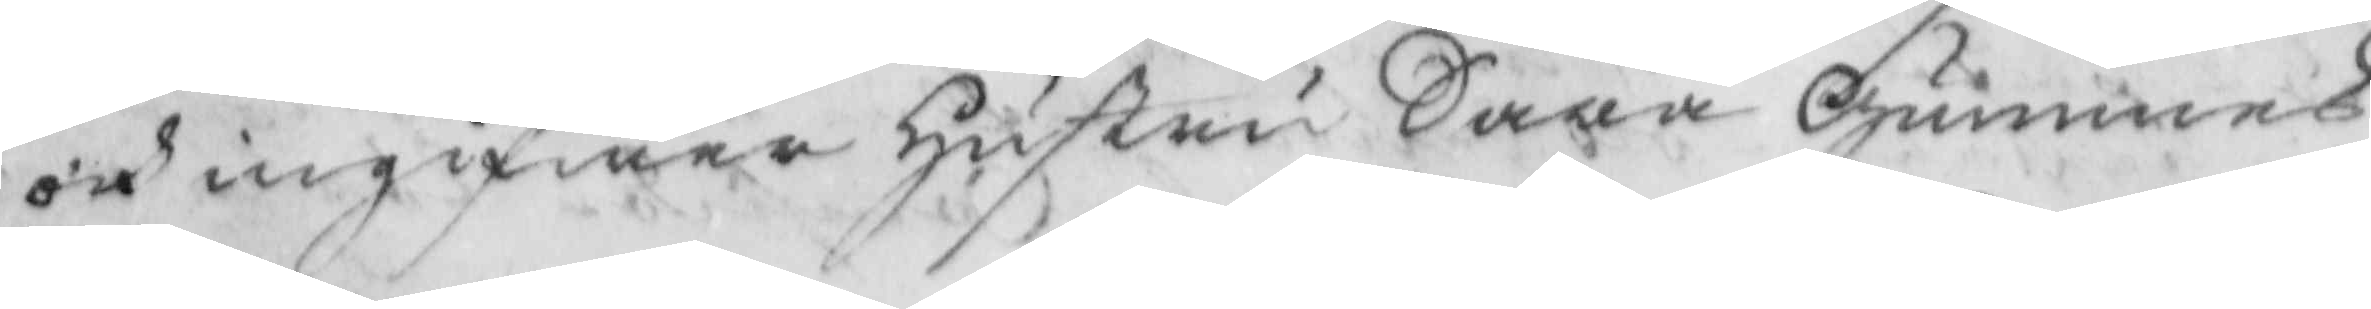och ingifwer hustru Sara Gummes
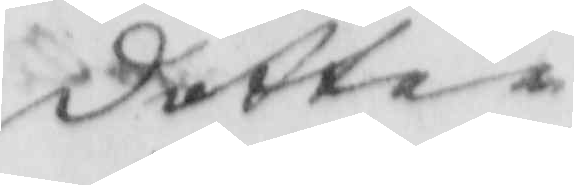dotter
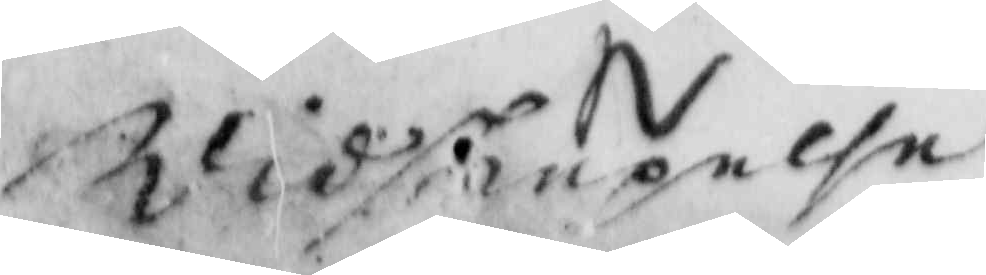Widskiepelse
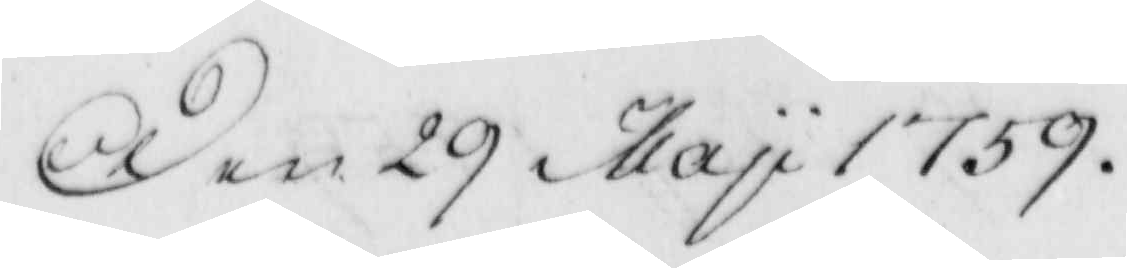Den 29 May 1759.
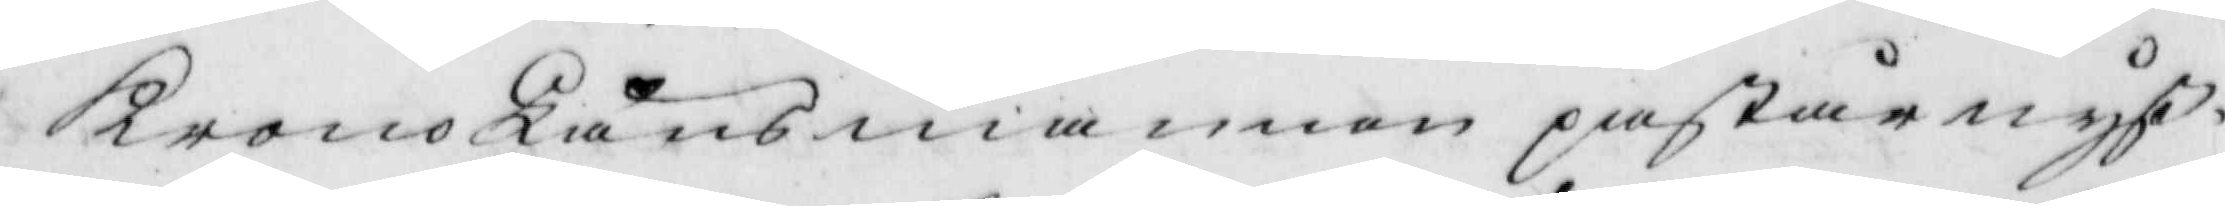KronoLänsmannen påstår nyß¬
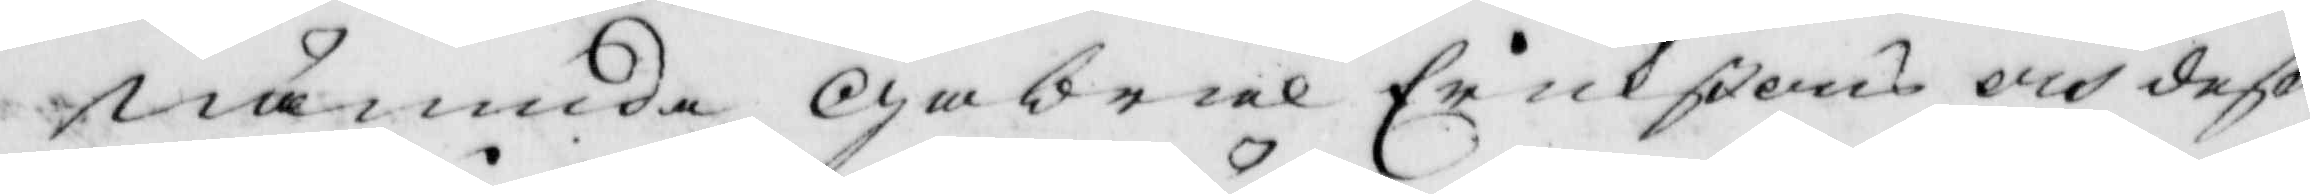nämnde Gabriel Erikßons och deß
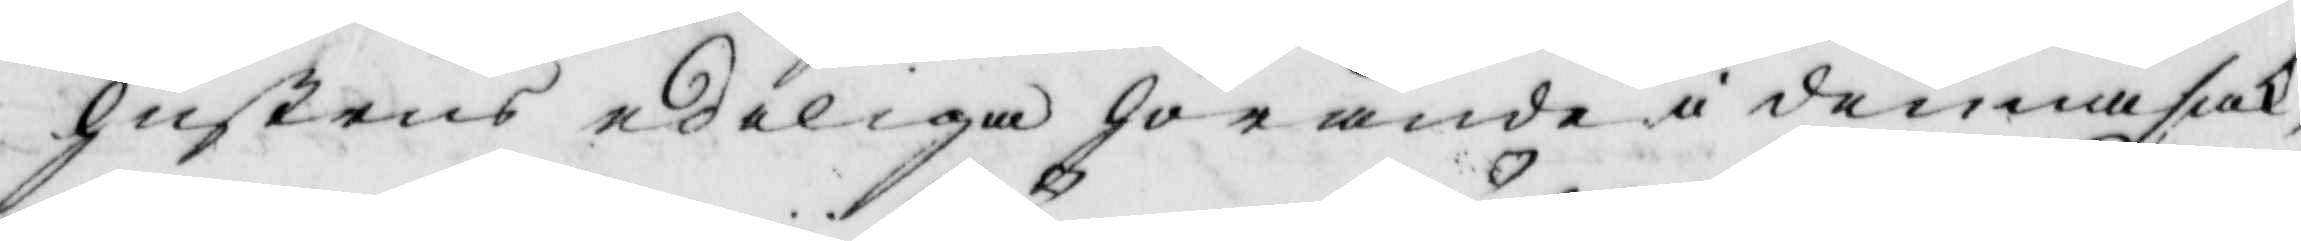hustrus edeliga hörande i denna sak;
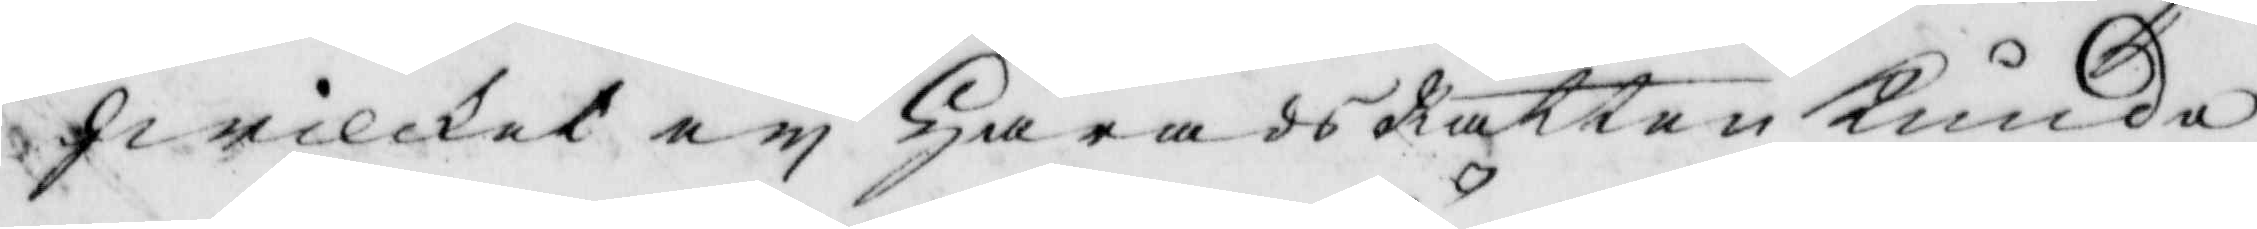hwilket ey Härads Rätten kunde
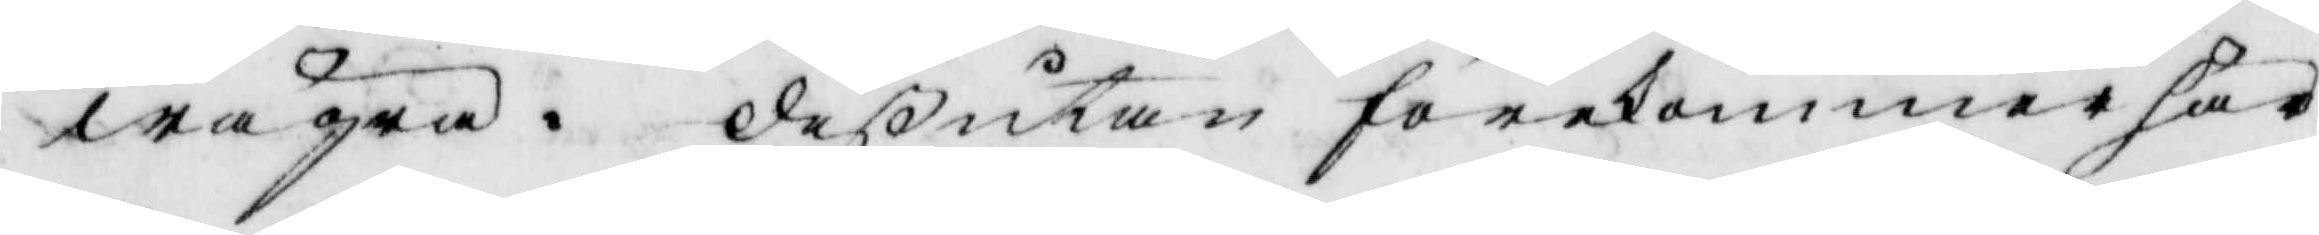wägra. deßutan förekommer här
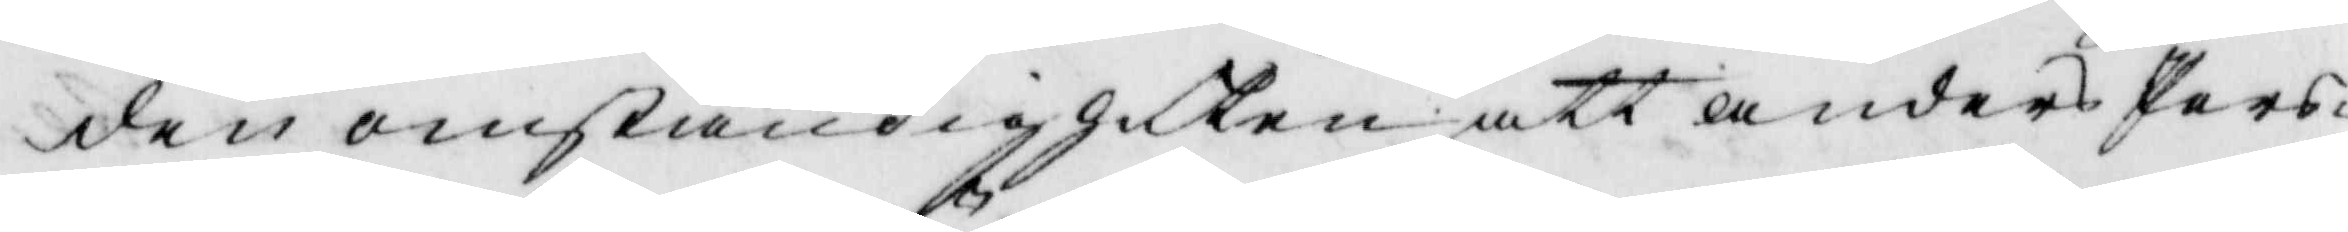den omständigheten att Anders Pers¬
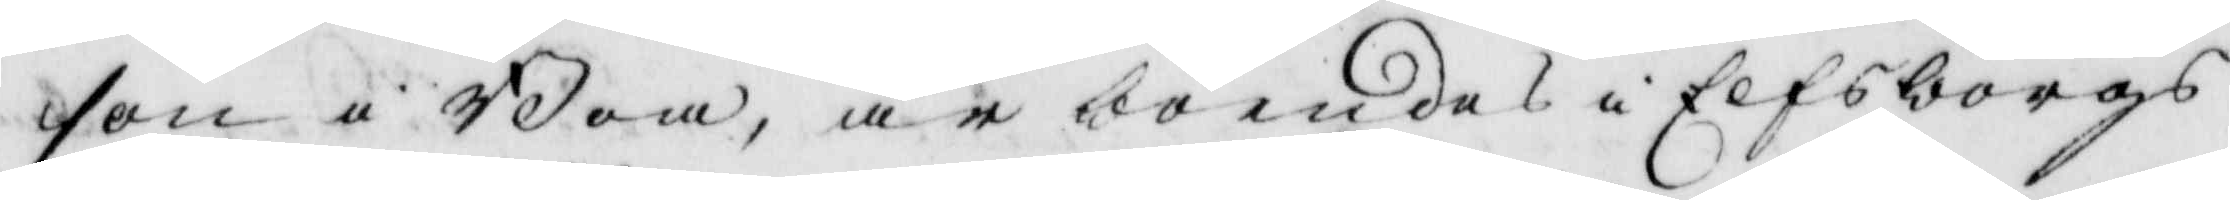son i Boa, är boendes i Elfsborgs
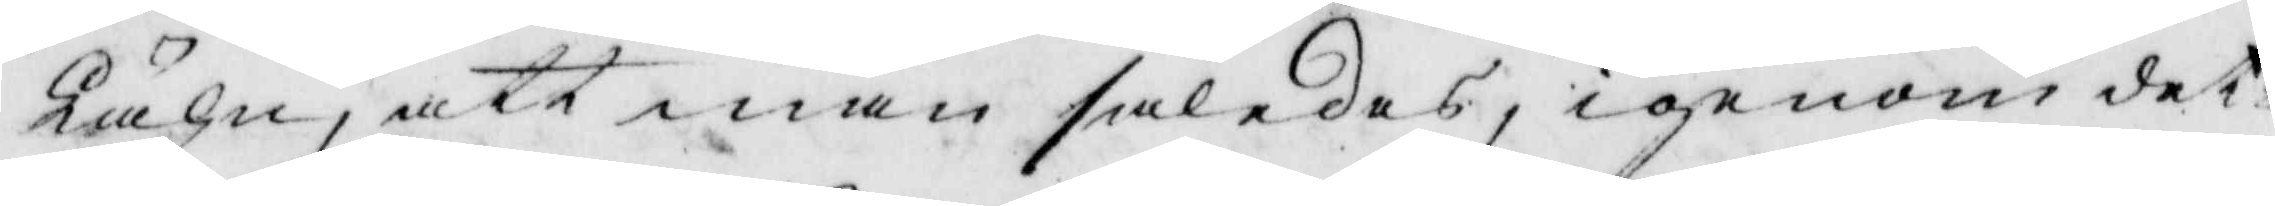Lähn, att man således, igenom det¬
